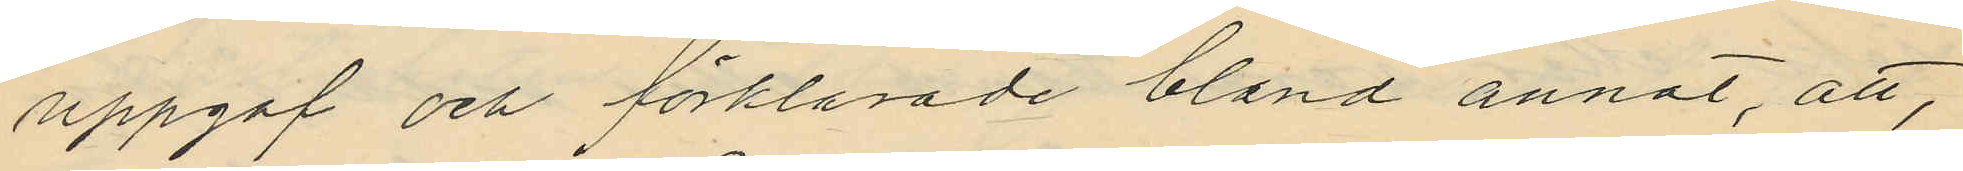uppgaf och förklarade bland annat, att,
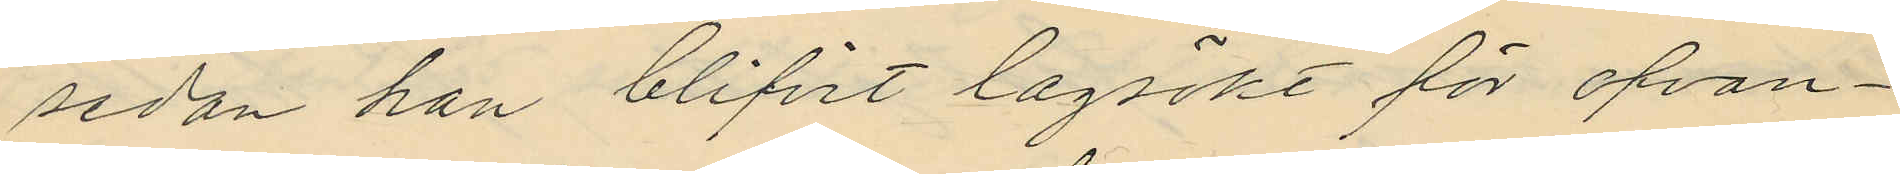sedan han blifvit lagsökt för ofvan¬
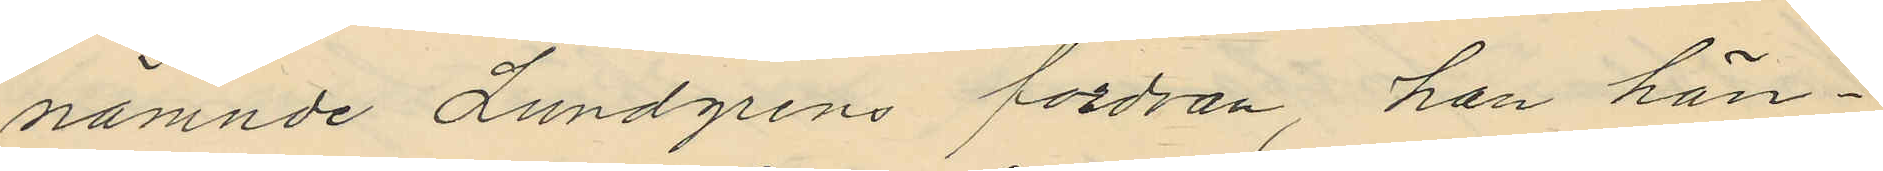nämnde Lundgrens fordran, han hän¬
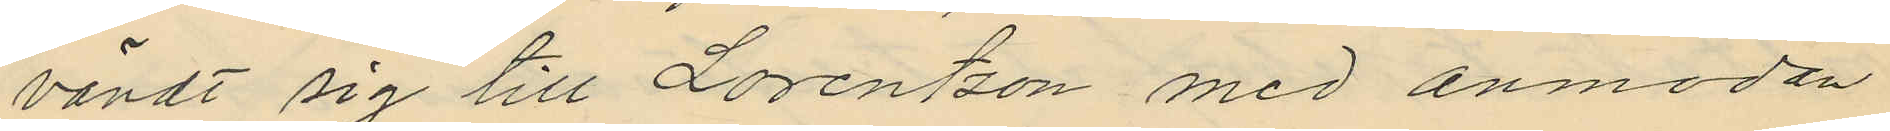vändt sig till Lorentzon med anmodan
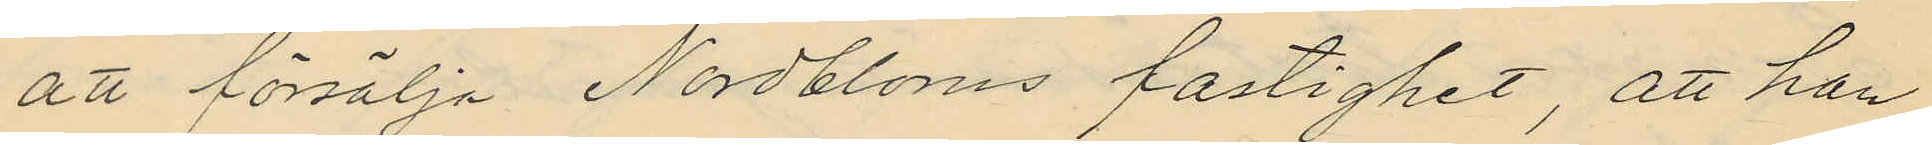att försälja Nordbloms fastighet, att han
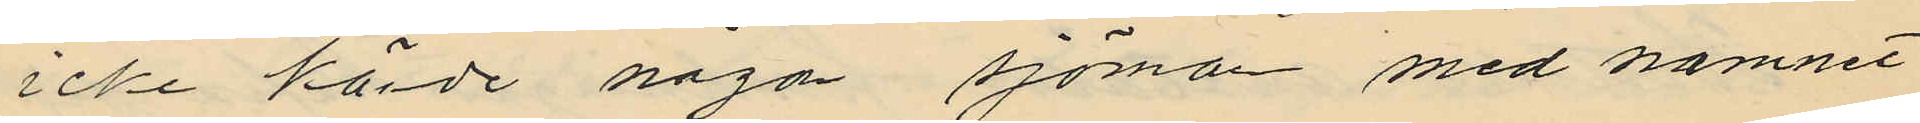icke körde någon sjöman med namnet
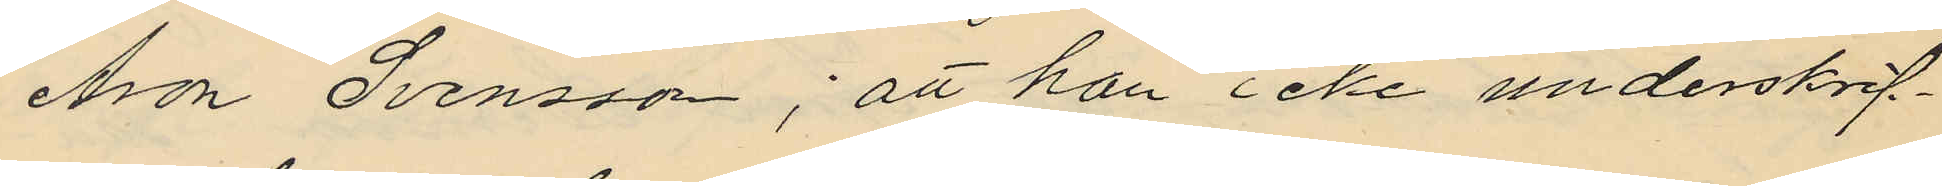Aron Svensson; att han icke underskrif¬
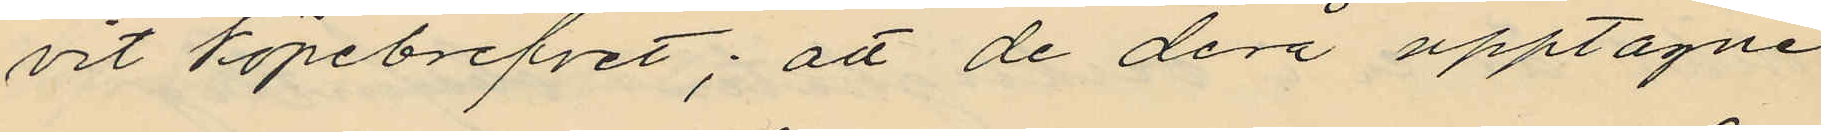vit köpebrefvet; att de derå upptagne
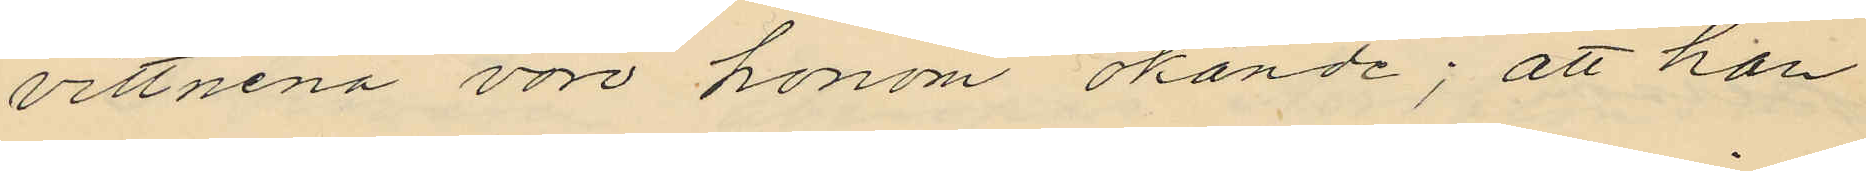vittnena vore honom okände; att han
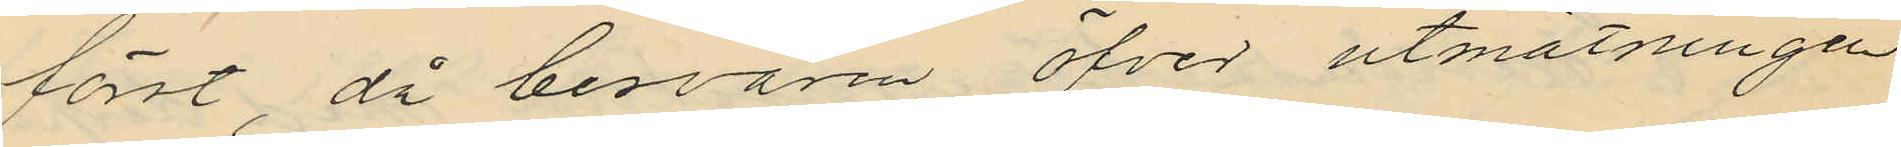först, då besvären öfver utmätningen
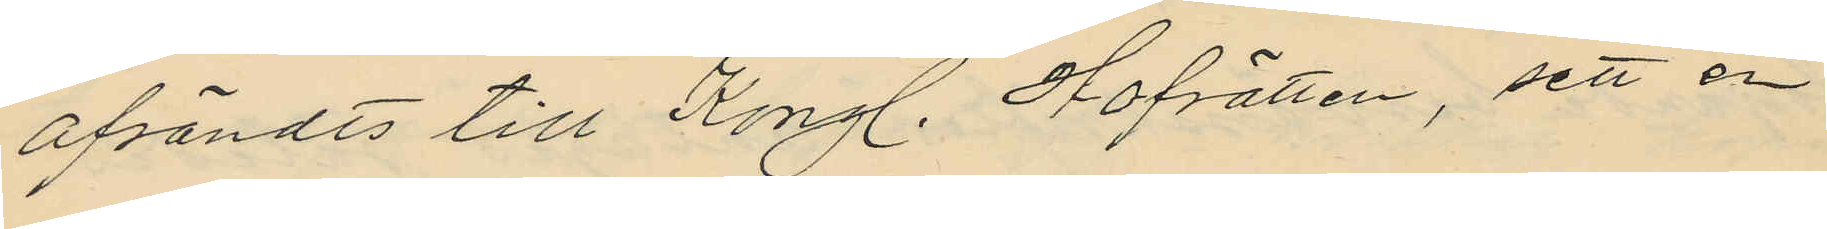afsändts till Kongl. Hofrätten, sett en
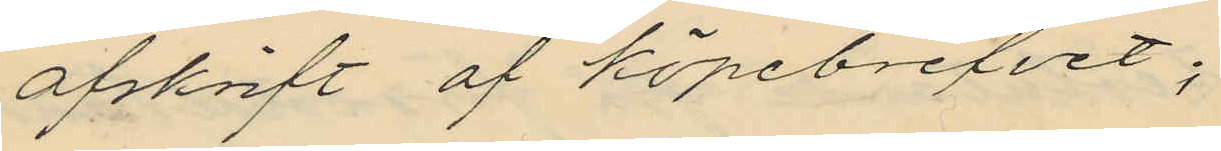afskrift af köpebrefvet;
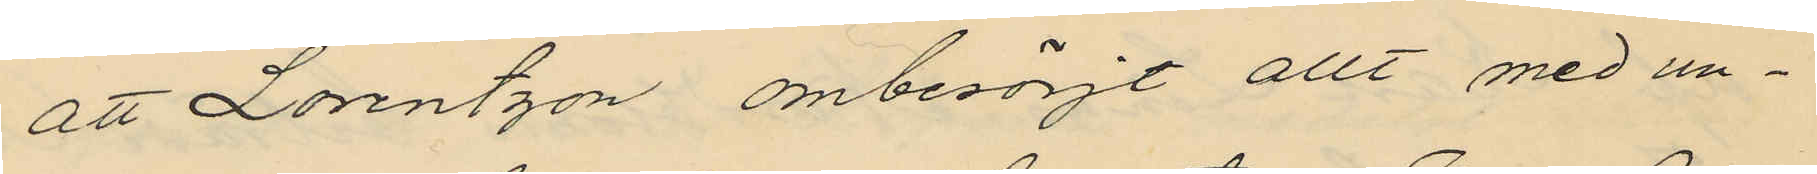att Lorentzon ombesörjt allt med un¬
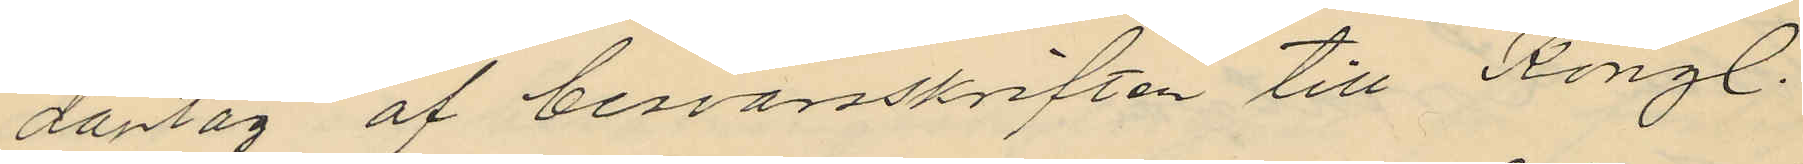dantag af besvärsskriften till Kongl.
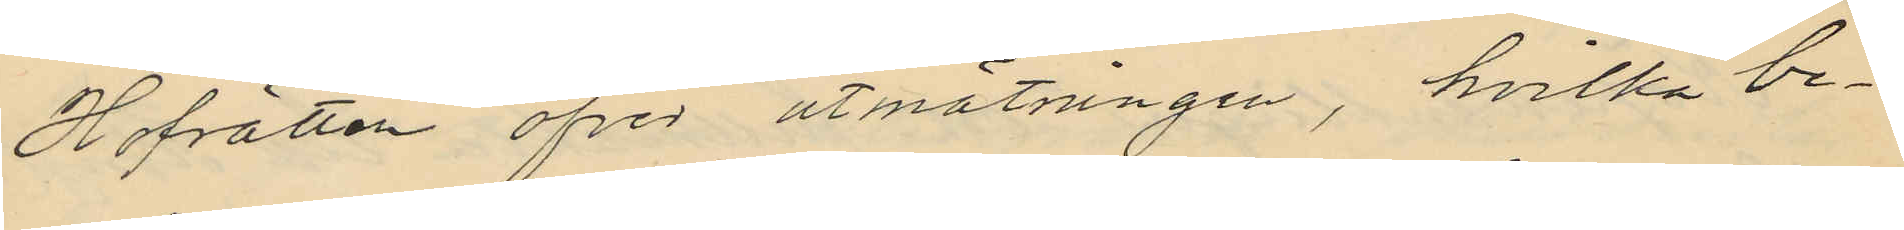Hofrätten öfver utmätningen, hvilka be¬
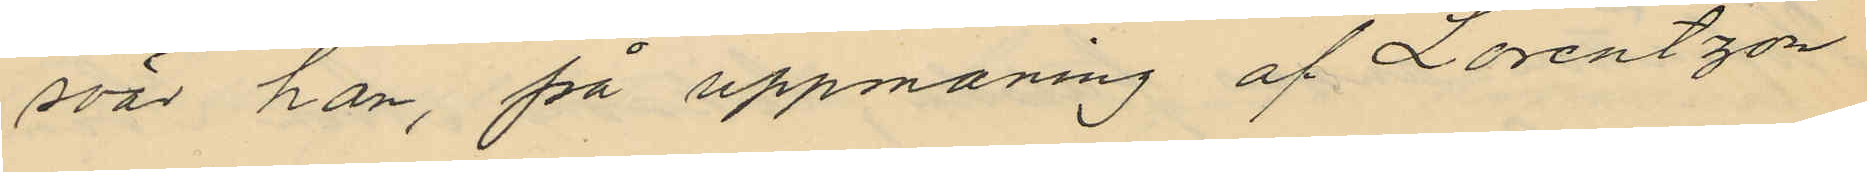svär han, på uppmaning af Lorentzon
